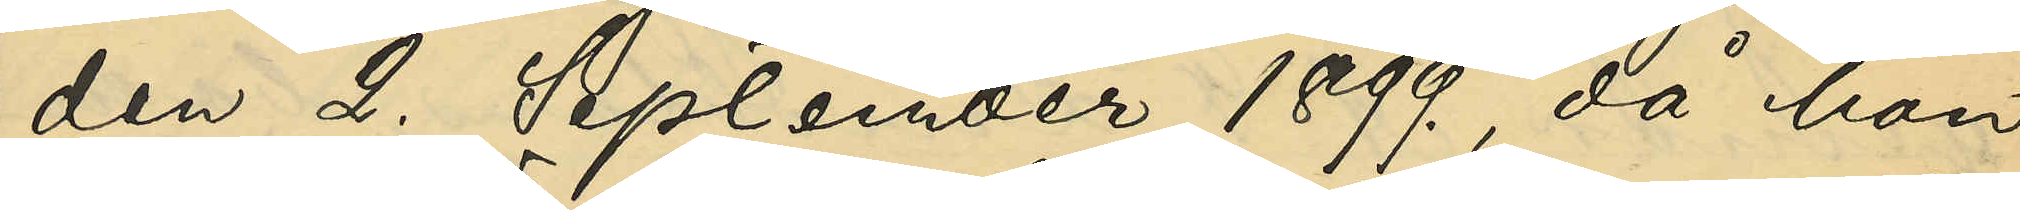den 2. September 1899., då hon
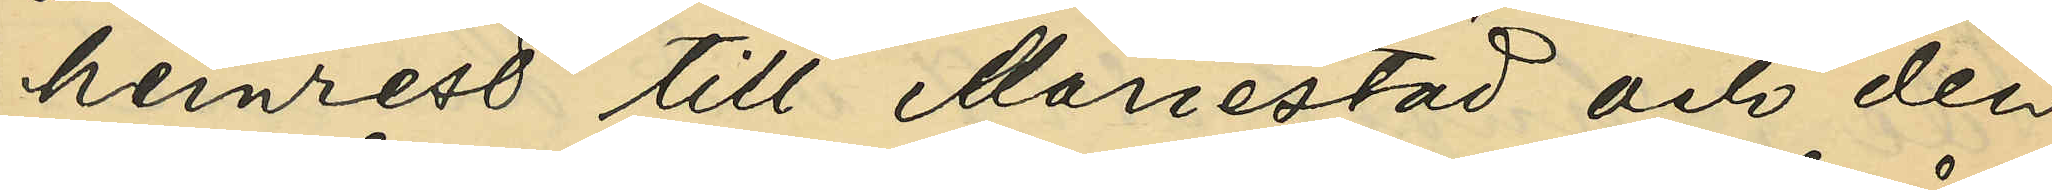hemrest till Mariestad och den
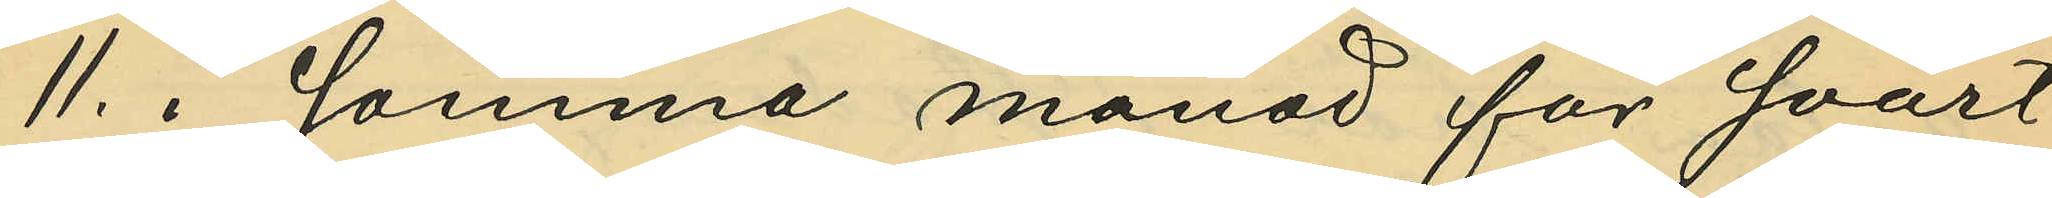11. i Januari månad för svårt
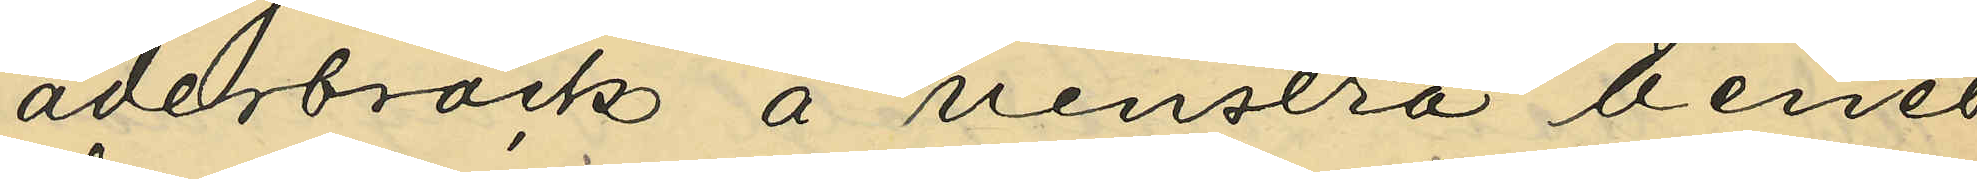åderbråck å venstra benet
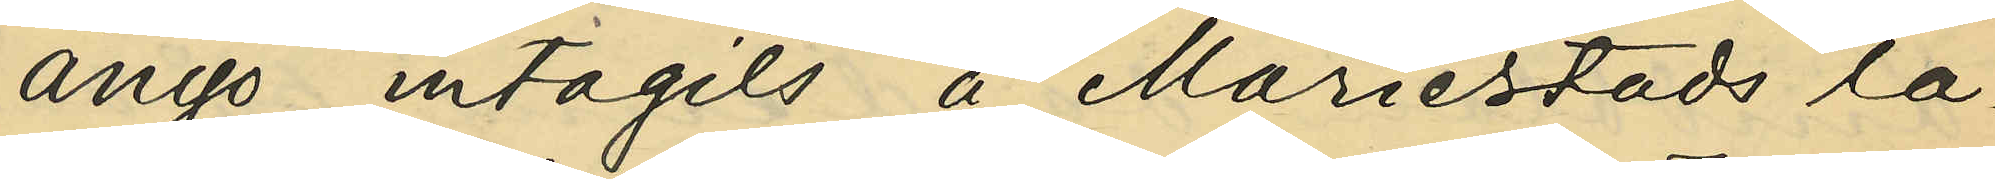ånyo intagits å Mariestads la¬
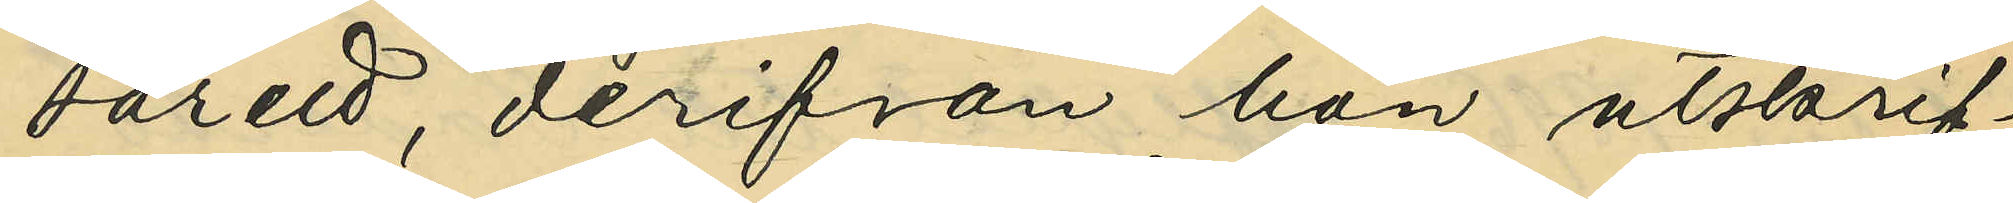sarett, derifrån hon utskrif¬
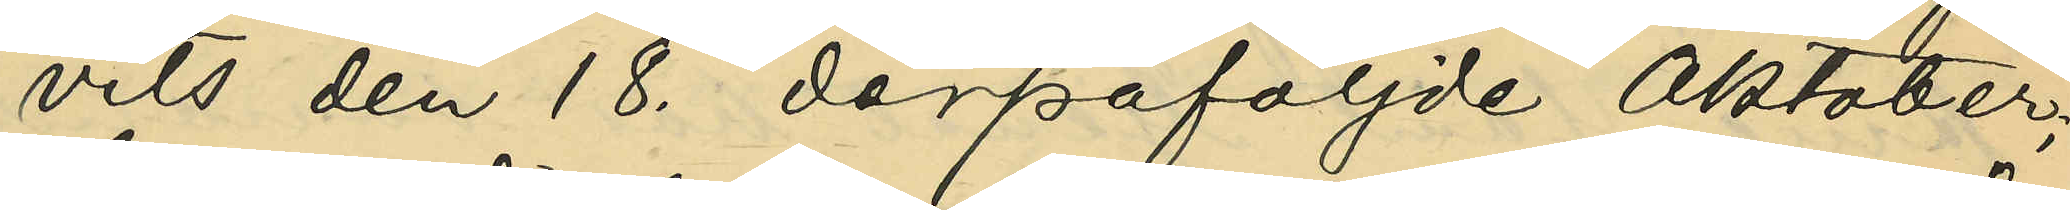vits den 18. derpåföljde Oktober;
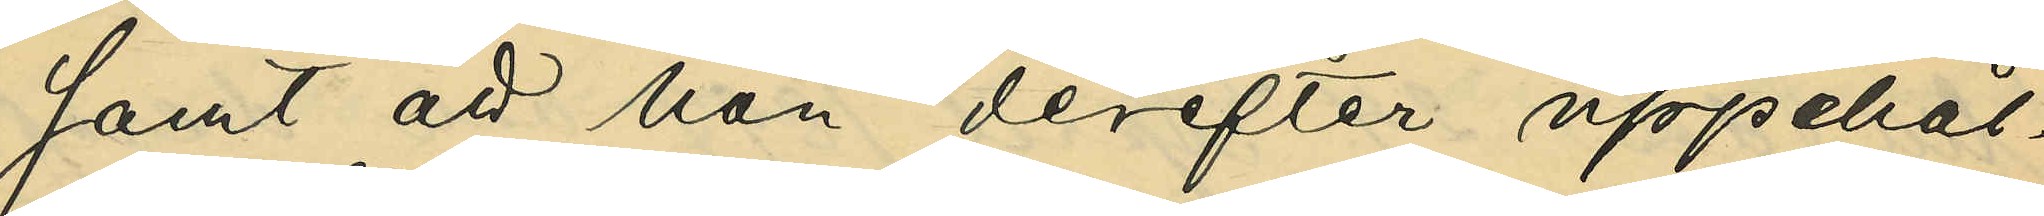samt att hon derefter uppehål¬
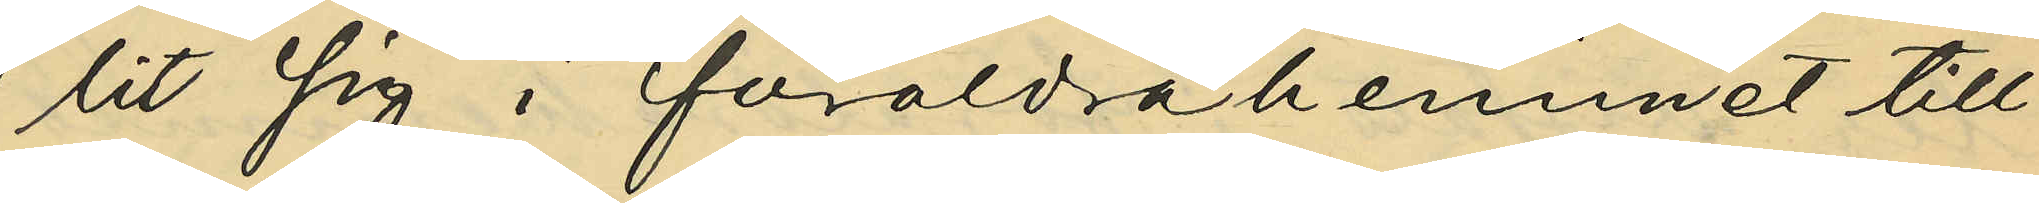lit sig i föräldrahemmet till
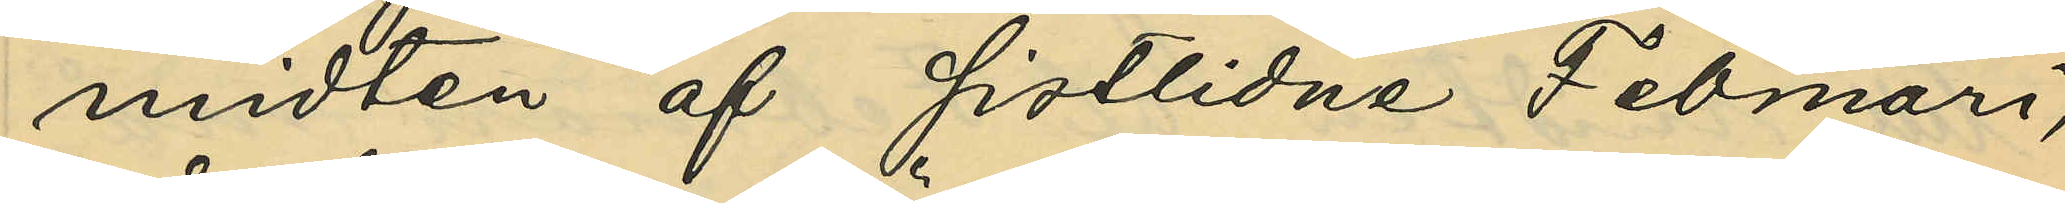midten af sistlidne Februari,
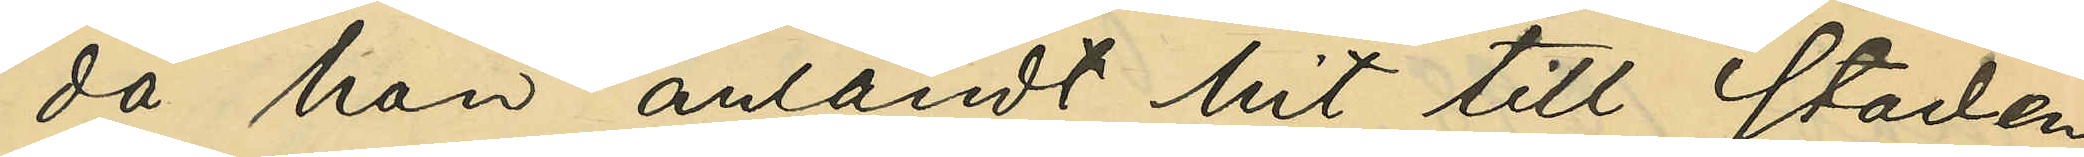då hon anländt hit till staden
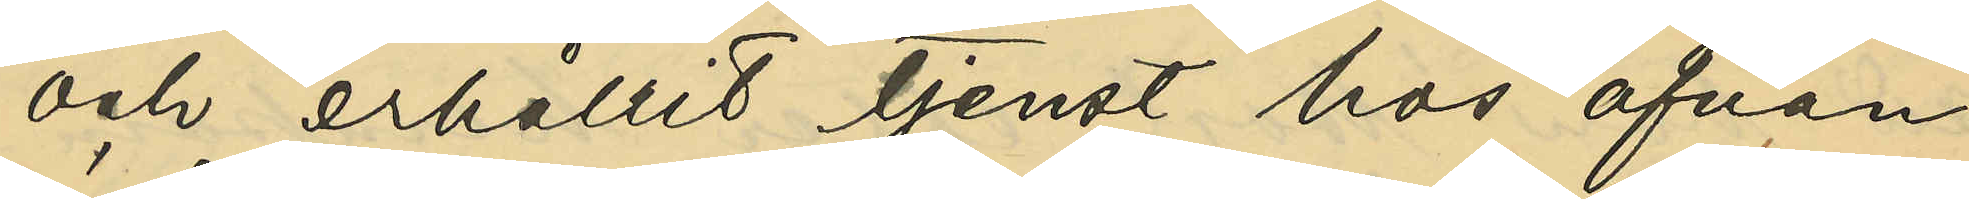och erhållit tjenst hos ofvan¬
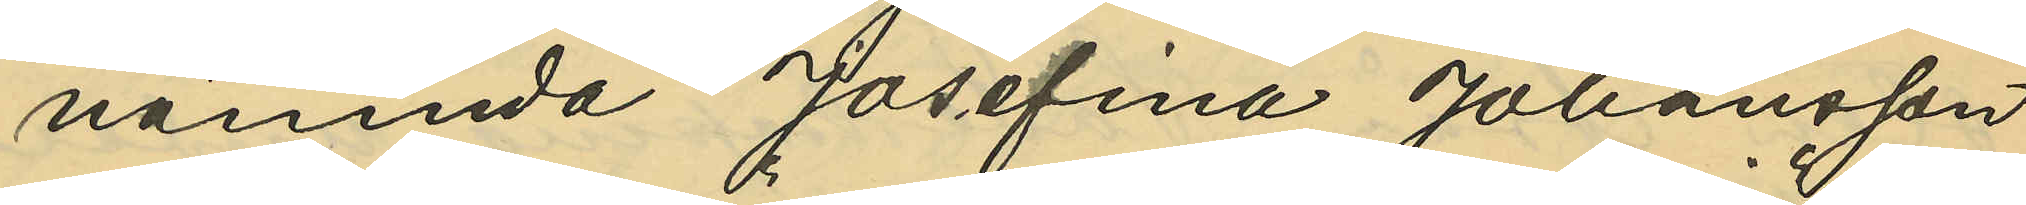nämnde Josefina Johansson.
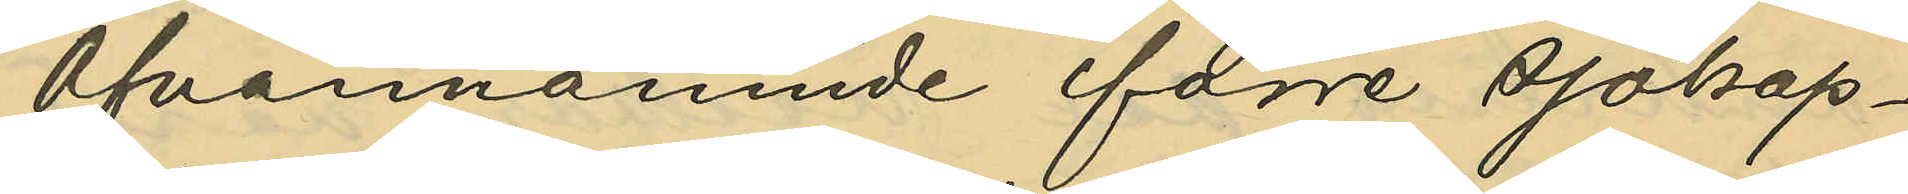Ofvannämnde förre sjökap¬
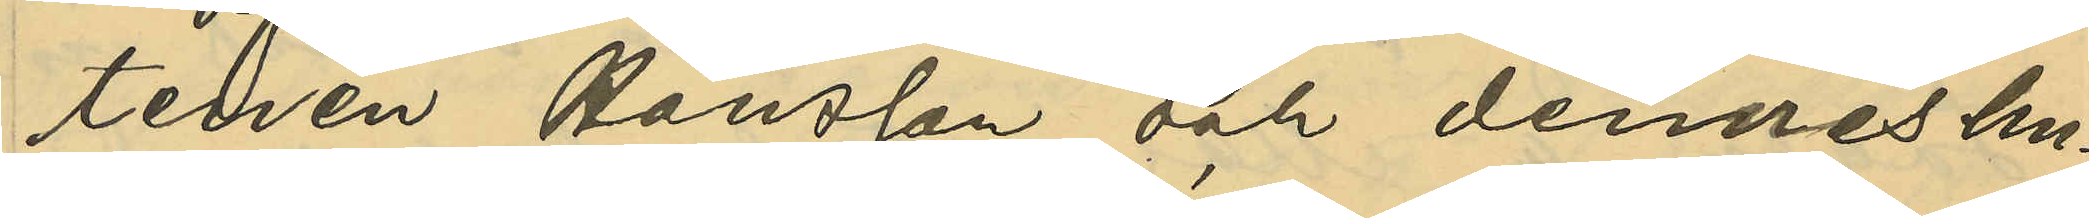tenen Hansson och dennes hu¬
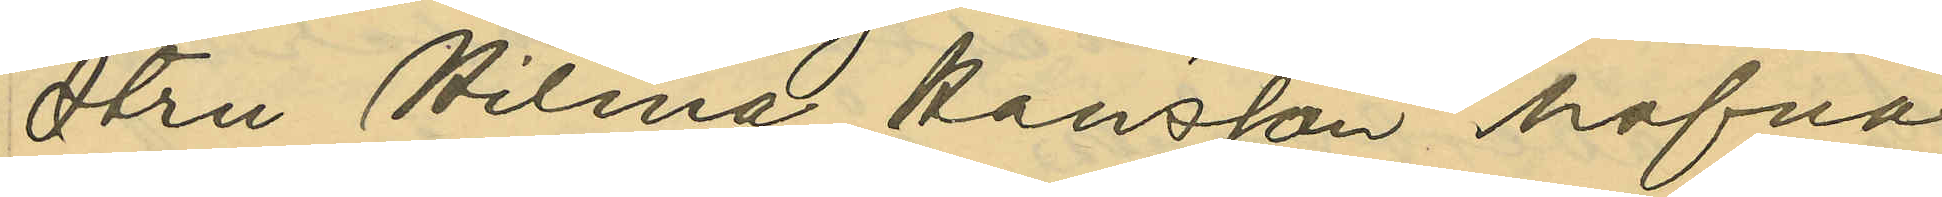stru Hilma Hansson hafva
